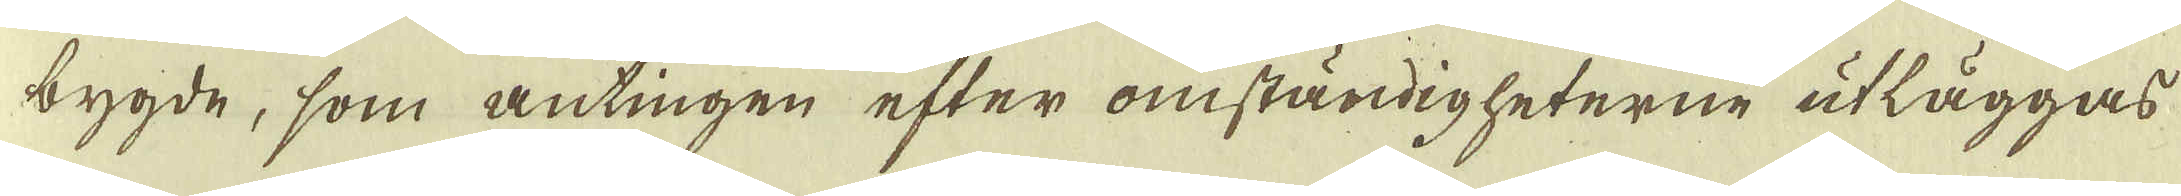bygde, som antingen efter omständigheterne utläggas
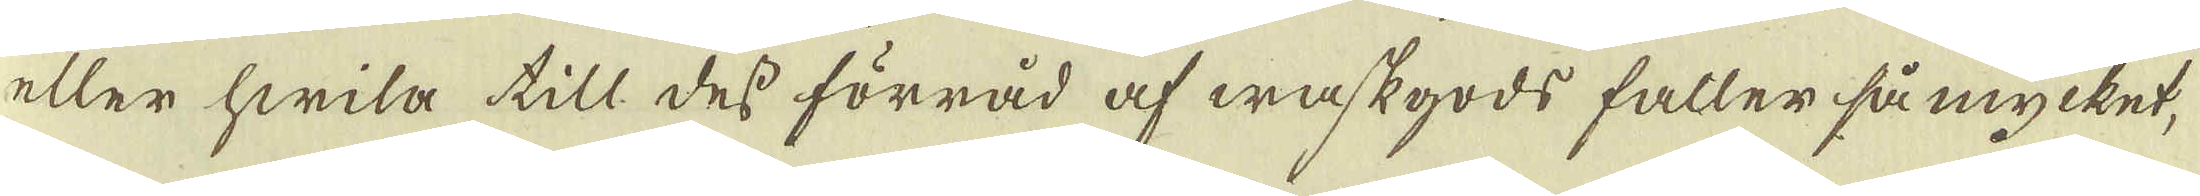eller hwilla till des förråd af waskgods faller så mycket,
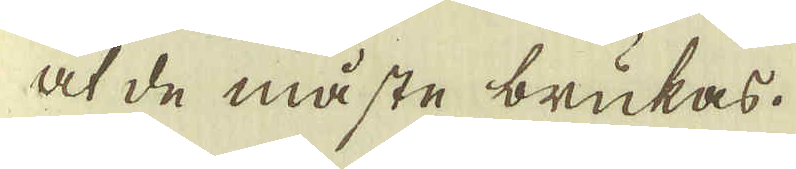at de måste brukas.
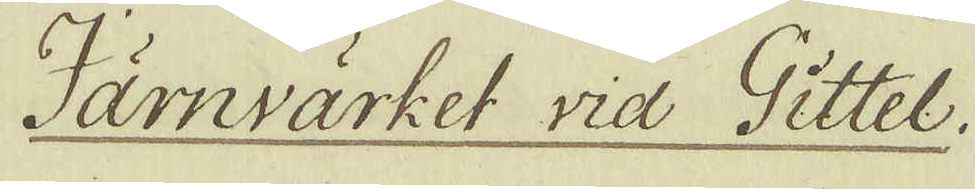Järnvärket vid Gittel.
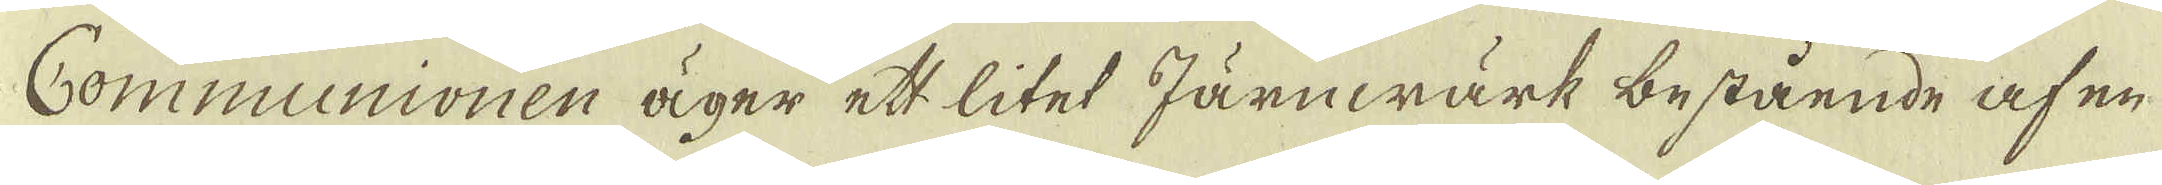Communionen äger ett litet Järnwärk bestående af en
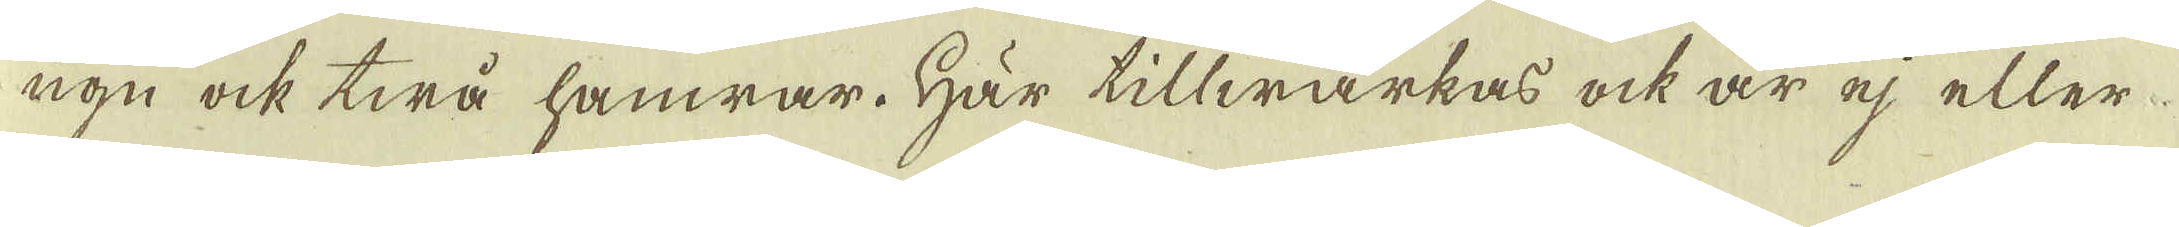ugn ock twå hämrar. Här tillwärkas ock är ej eller
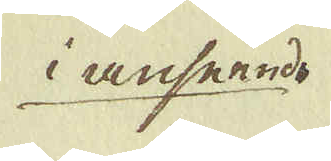i anseende
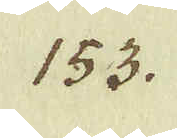153.
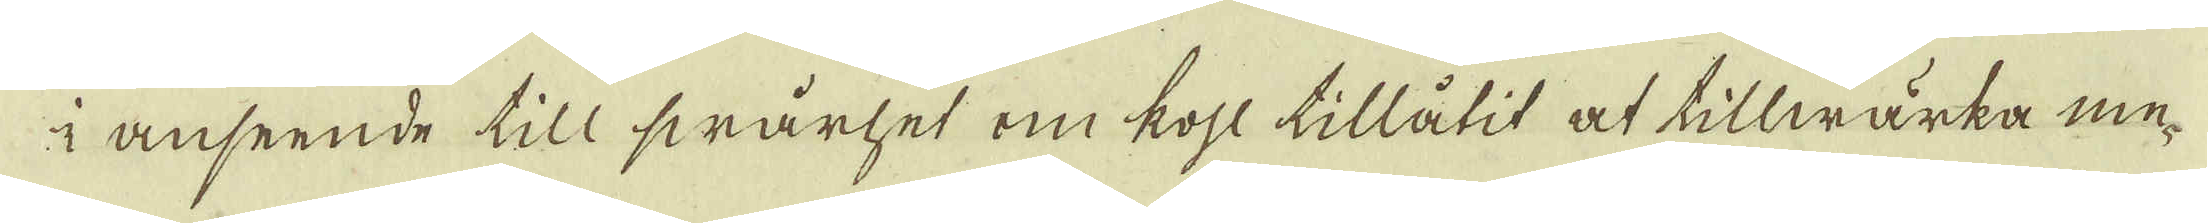i anseende till swårhet om kohl tillåtit at tillwärka me-
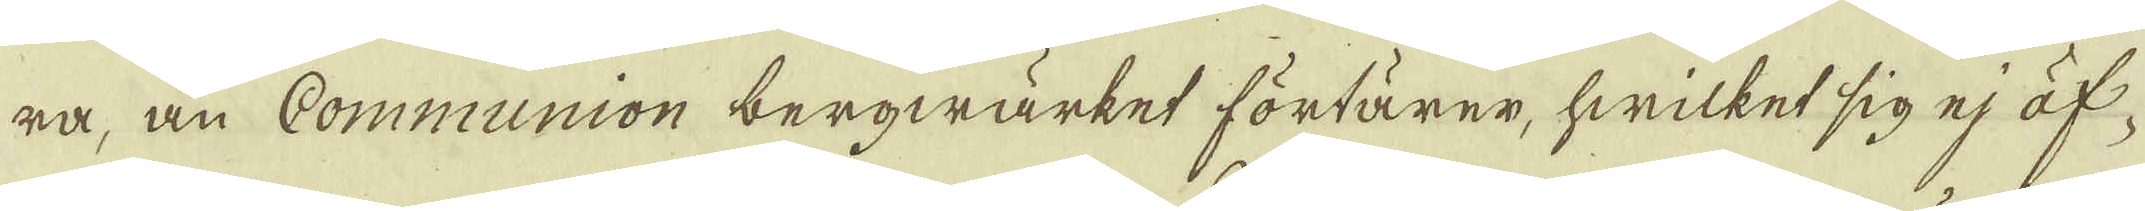ra, än Communion bergwärket förtärer, hwilket sig ej öf-
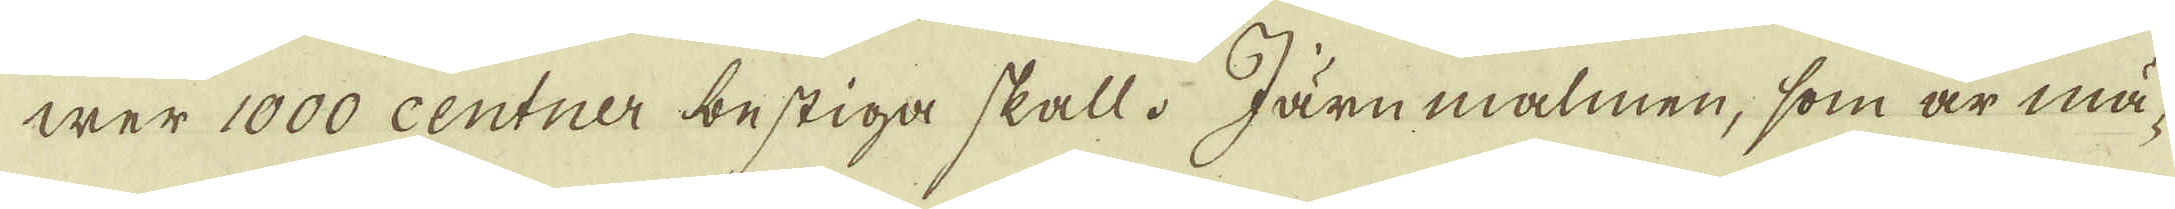wer 1000 Centner bestiga skall. Järnmalmen, som är mä-
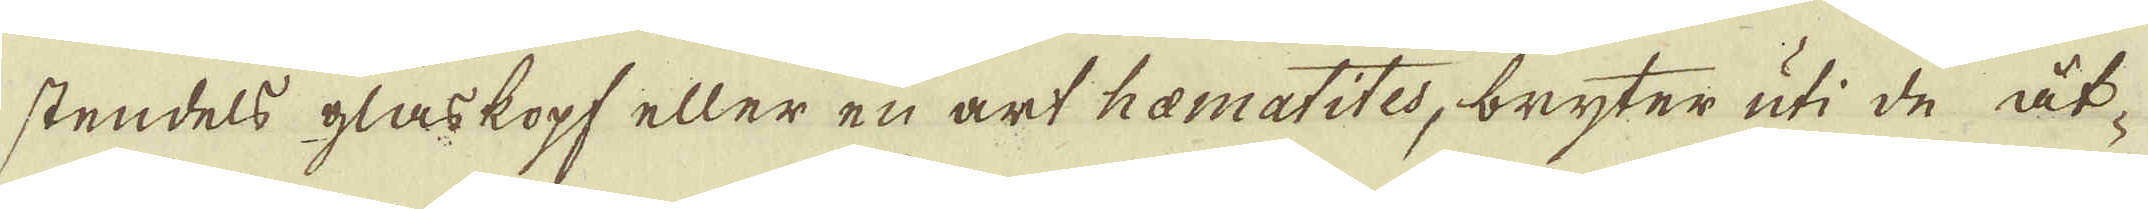stendels glaskopf eller en art hamatites, bryter uti de åt-
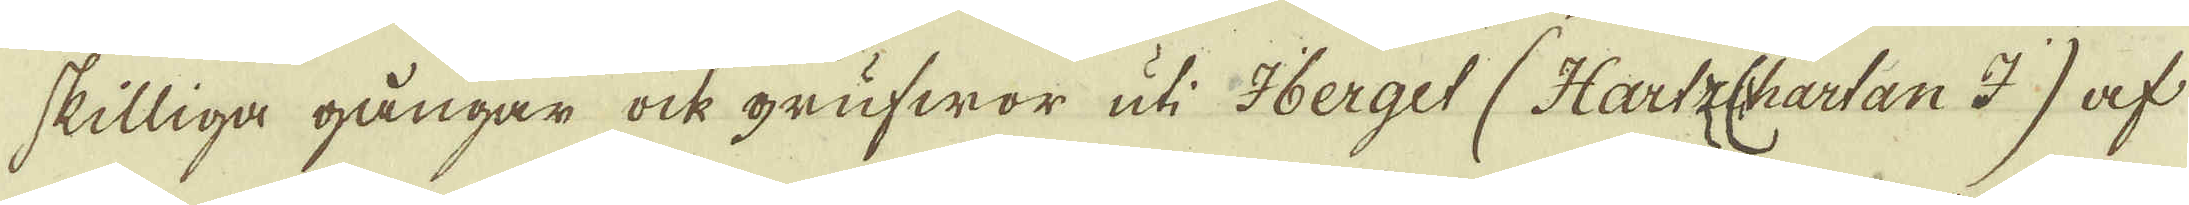skilliga gångar ock grufwor uti Iberget (Hartz chartan I) af
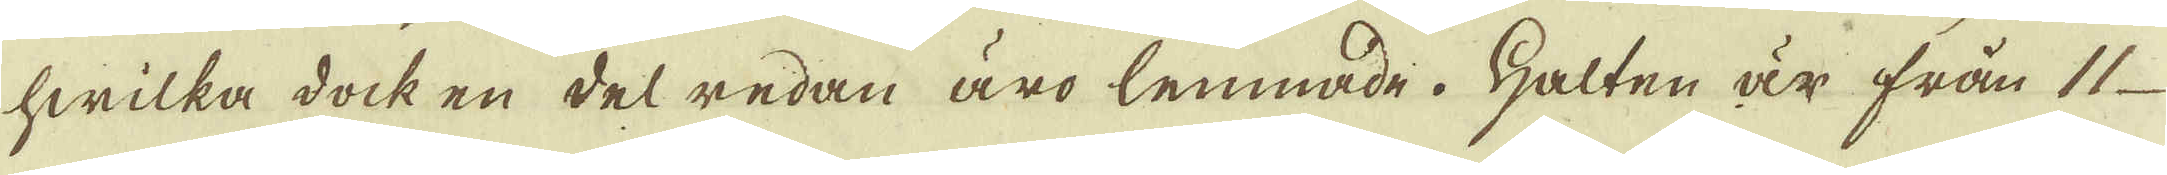hwilka dock en del redan äro lemnade. Halten är från 11
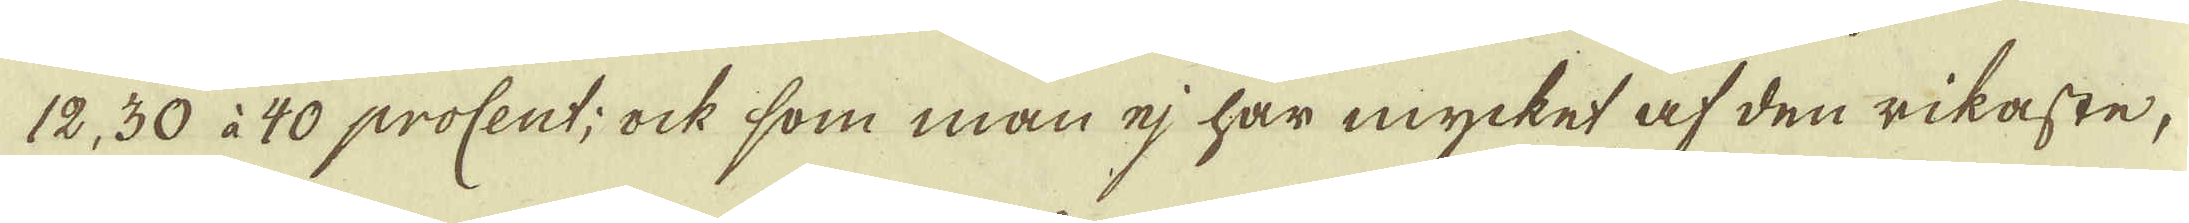12, 30 à 40 procent; ock som man ej har mycket af den rikaste,
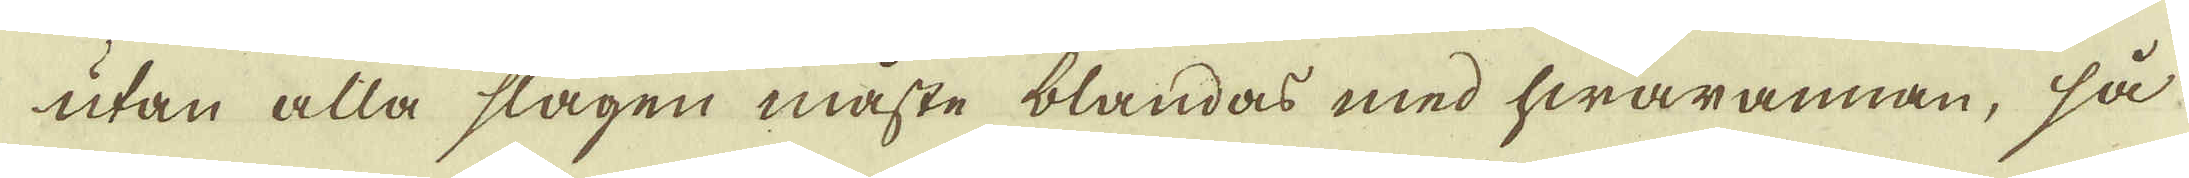utan alla slagen måste blandas med hwarannan, så
